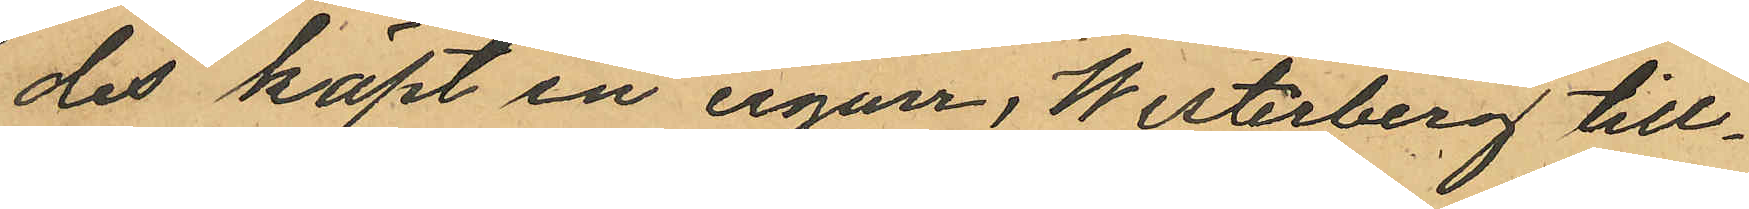des köpt en cigarr, Westerberg till¬
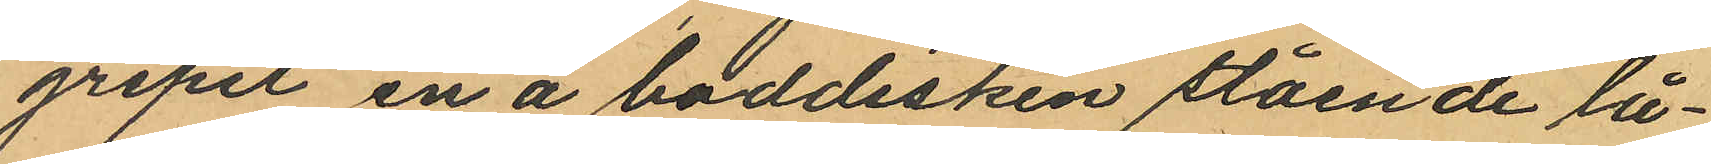gripit en å boddisken stående lå¬
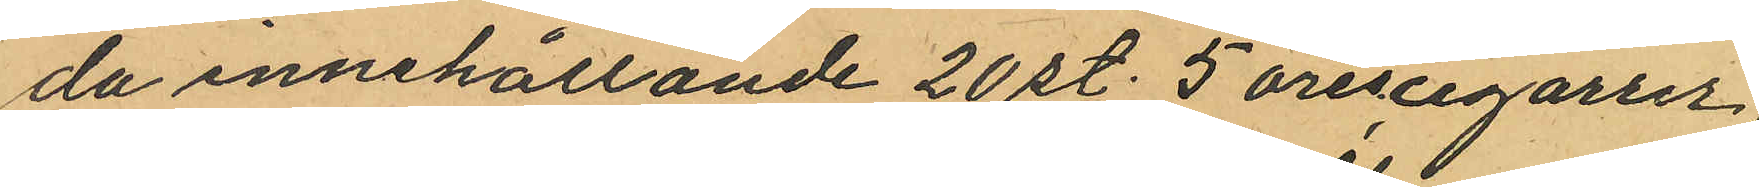da innehållande 20 st. 5 örescigarrer
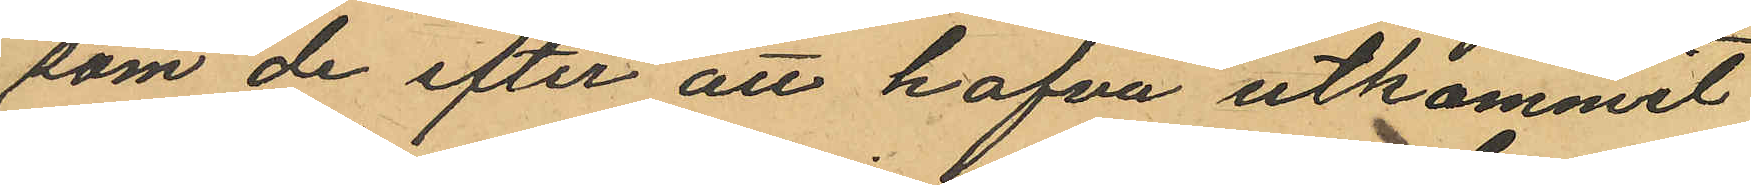som de efter att hafva utkommit
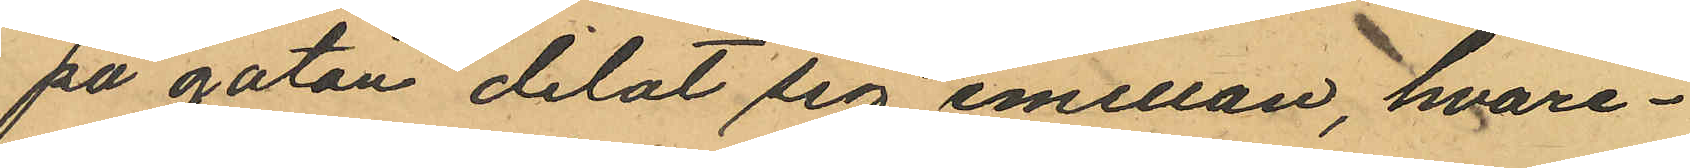på gatan delat sig emellan, hvare¬
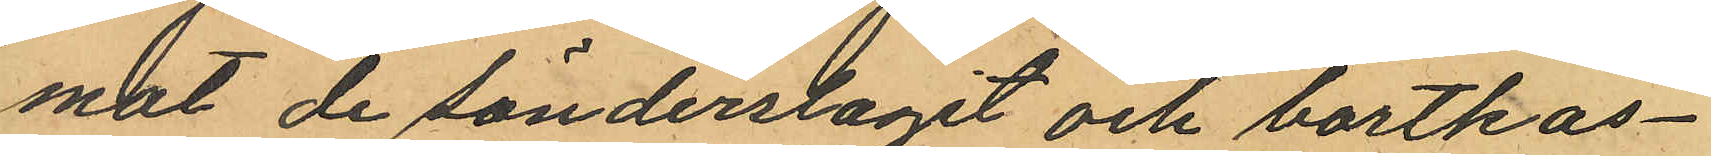mot de sönderslagit och bortkas¬
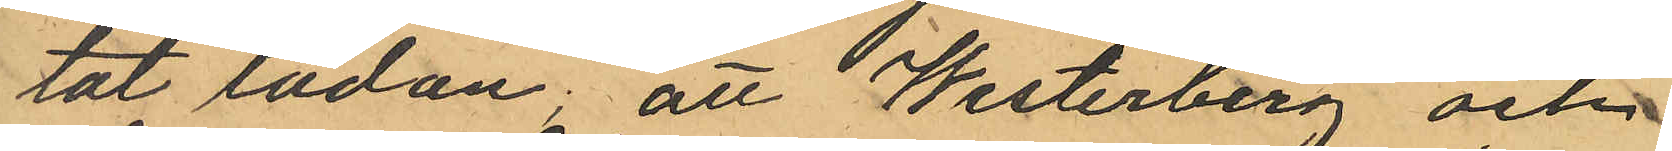tat lådan; att Westerberg och
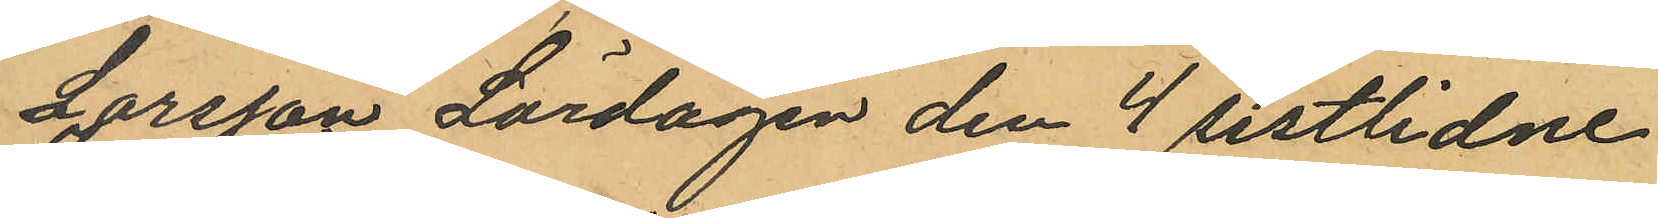Larsson Lördagen den 4 sistlidne
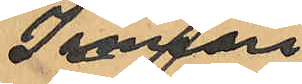Januari
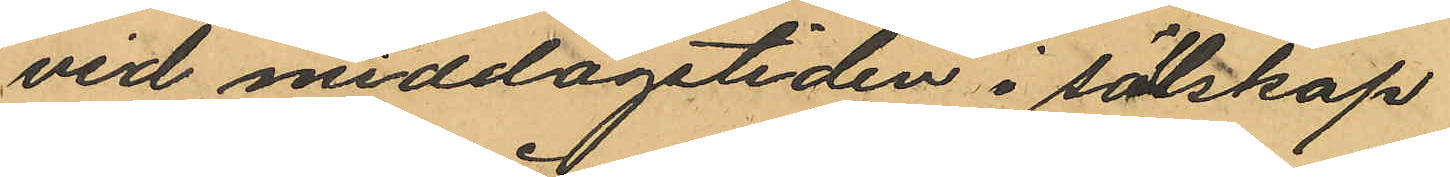vid middagstiden i sällskap
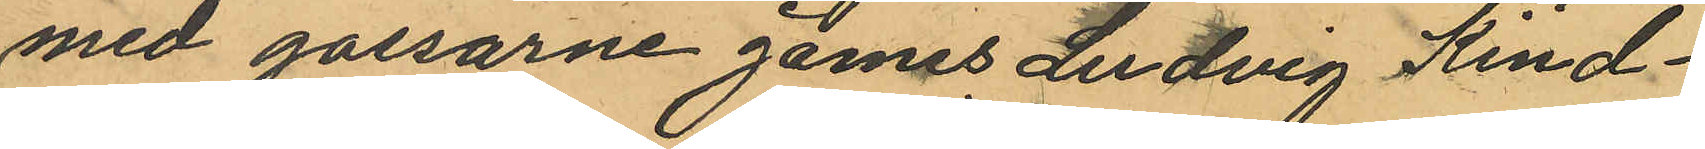med gossarne James Ludvig Kind¬
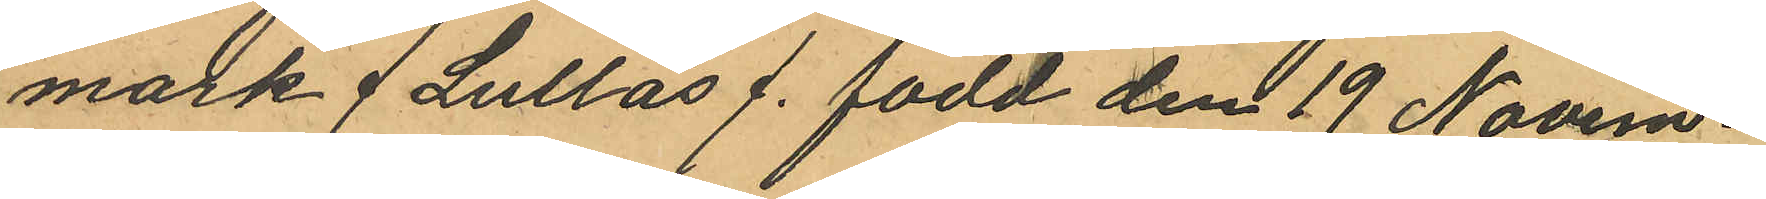mark / Lullas /. född den 19 Novem¬
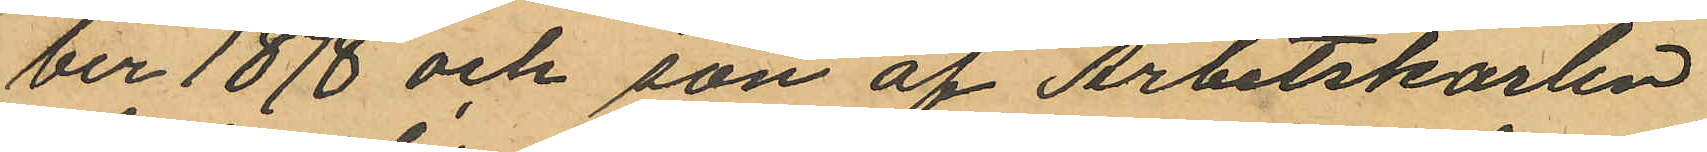ber 1878 och son af Arbetskarlen
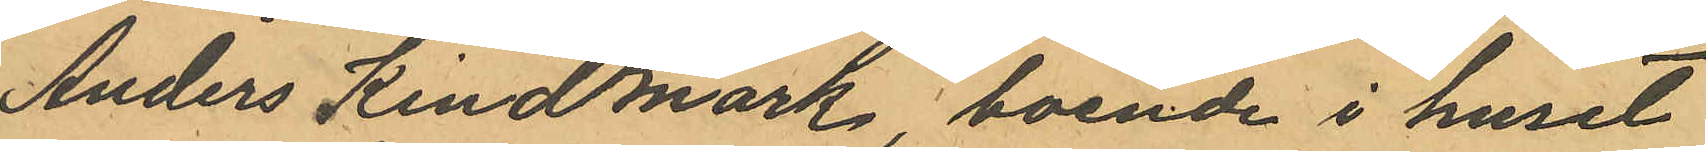Anders Kindmark boende i huset
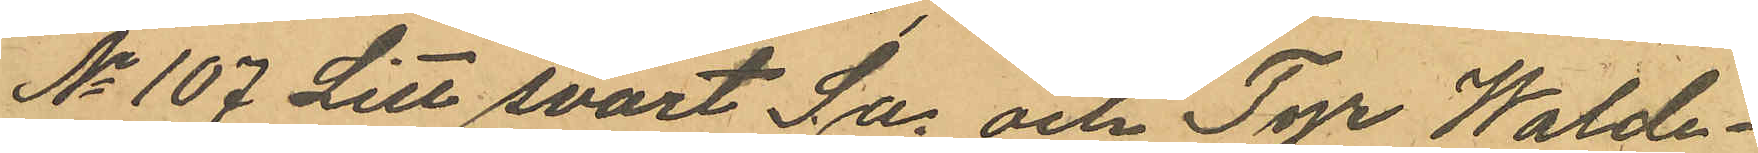No 107 Litt svart Sa. och Tyr Walde¬
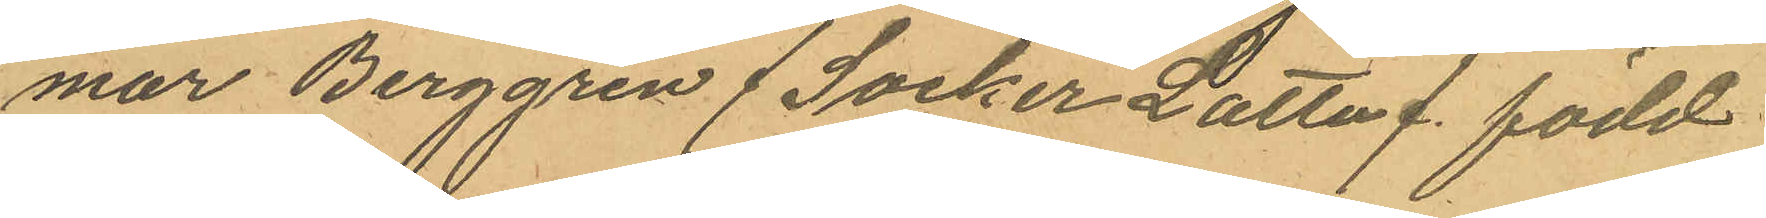mar Berggren / Socker Latta /. född
